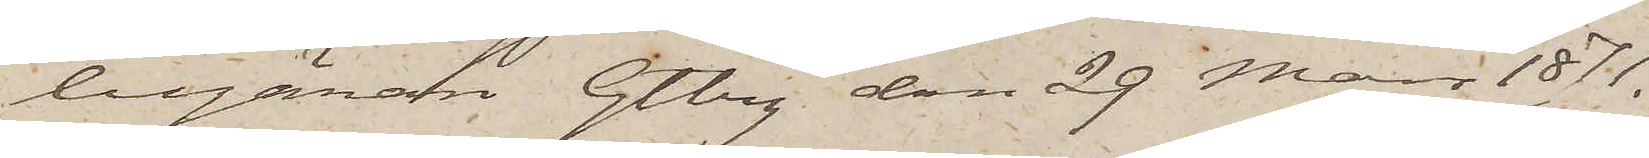begäran. Gtbrg den 29 Mars 1871.
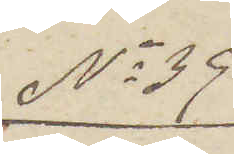No 39
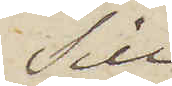Till
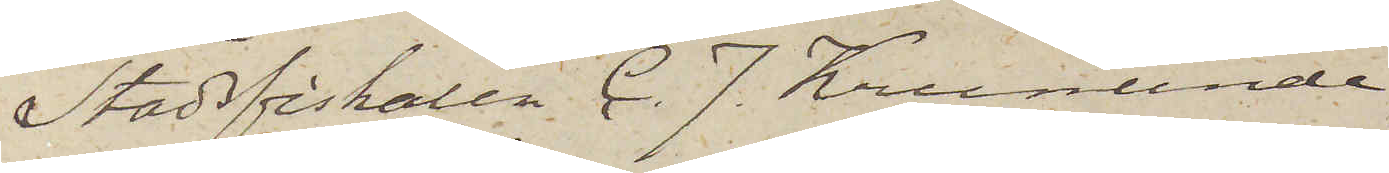Stadsfiskalen C. J. Krunlinde
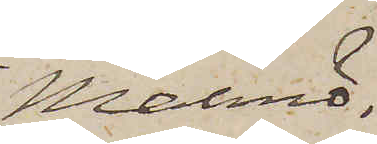Malmö.
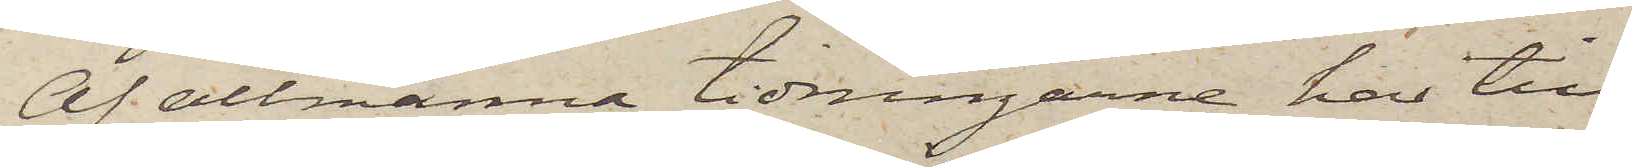Af allmänna tidningarne har till
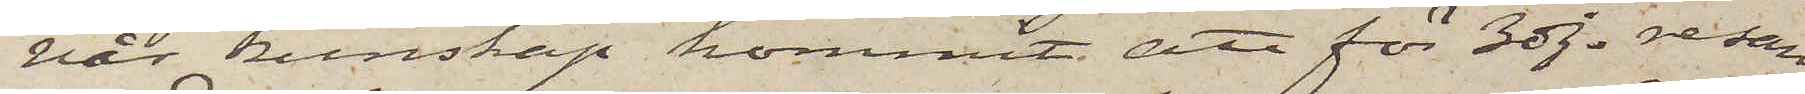vår kunskap kommit, att för 3dje resan
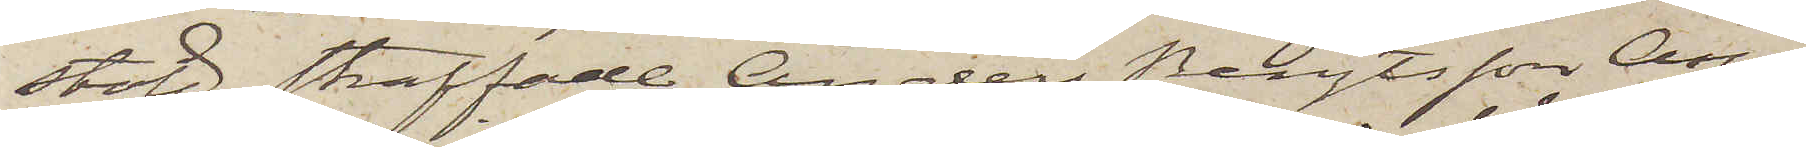stöld straffade Anders Bengtsson Aspe¬
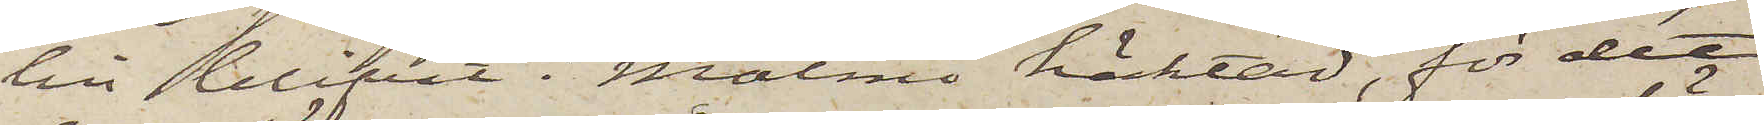lin blifvit i Malmö häktad, för det
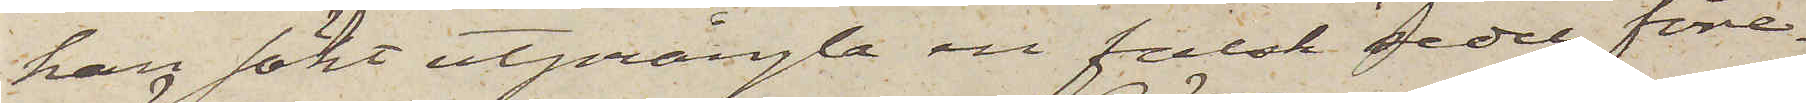han sökt utprångla en falsk sedel före¬
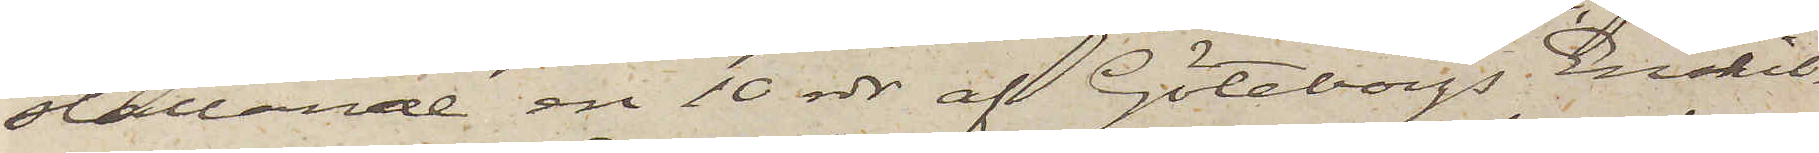ställande en 10 rdr af Göteborgs Enskil¬
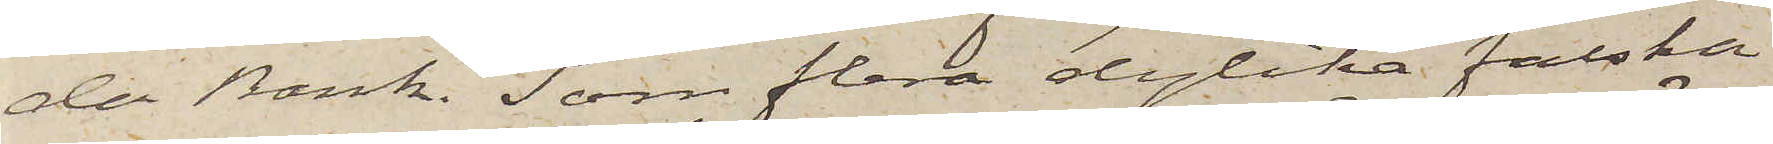de Bank. Som flera dylika falska
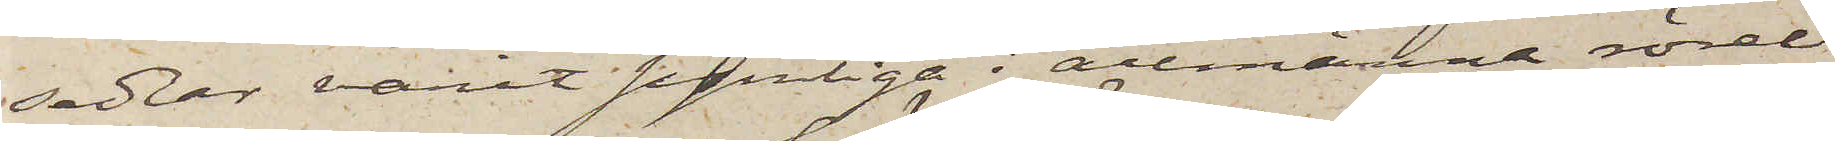sedlar varit synliga i allmänna rörel¬
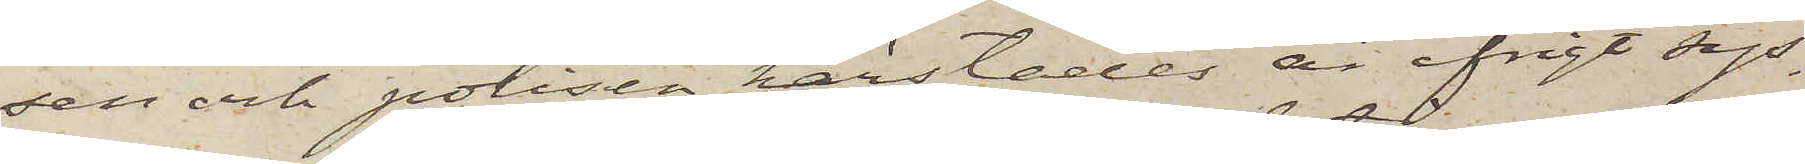sen och polisen härstädes är ifrigt sys¬
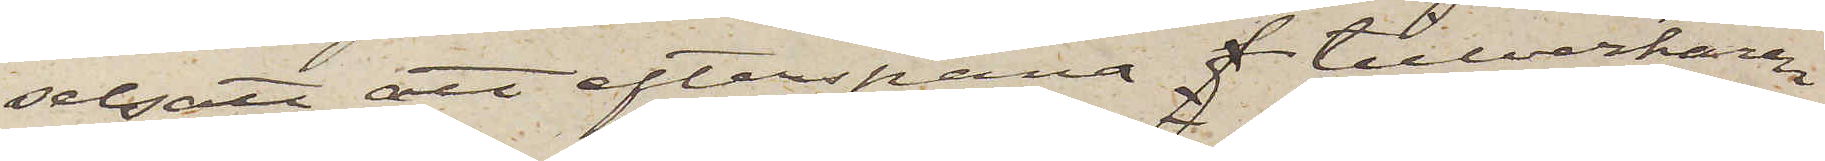selsatt att efterspana f tillverkaren
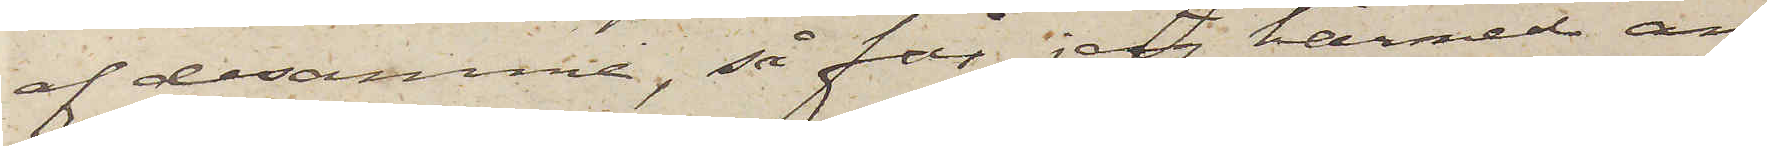af desamma, så får jag härmed an¬
